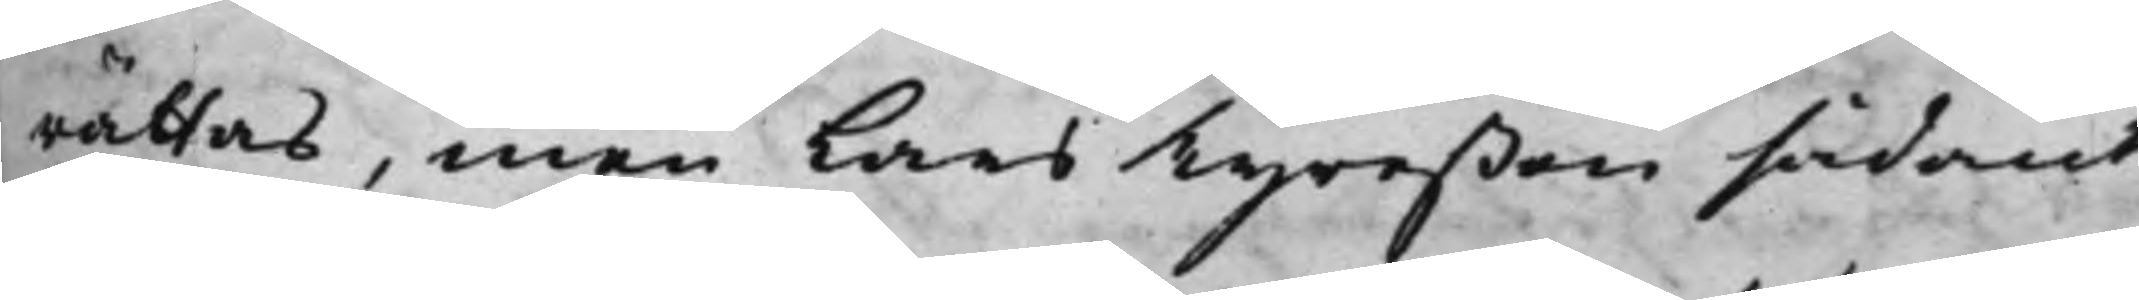rättas, men Lars Tyreßon sådant
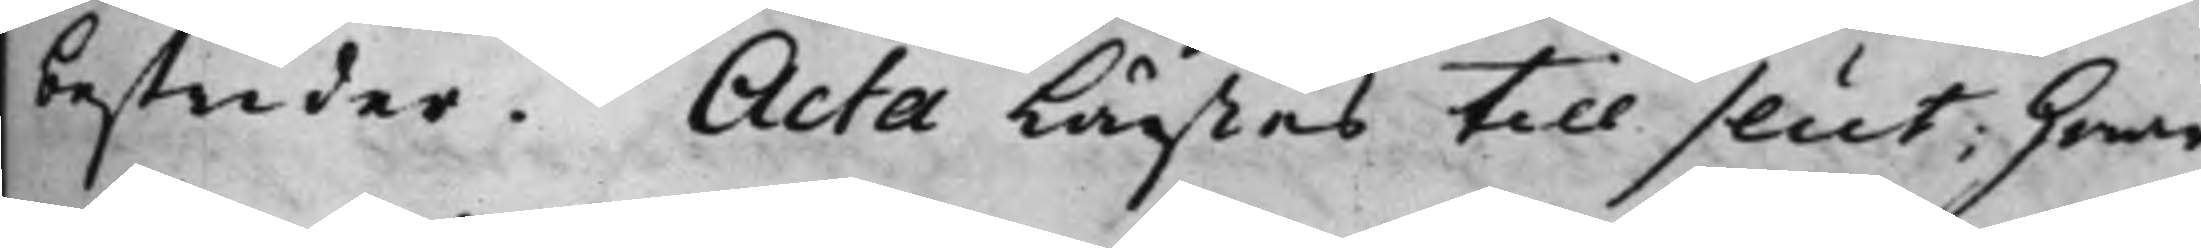bestrider. Acta lästes till slut; hwar¬
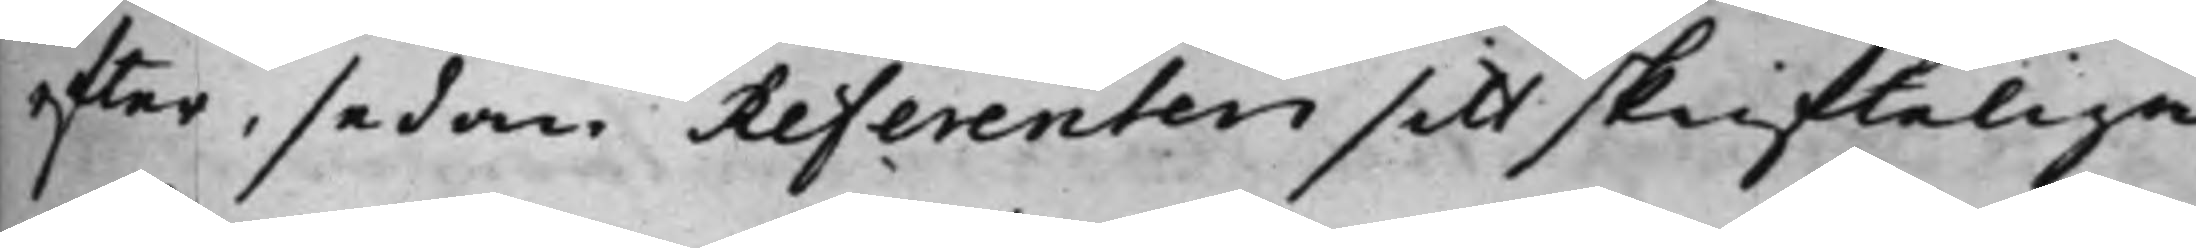effter, sedan Referenten sitt skrifteliga
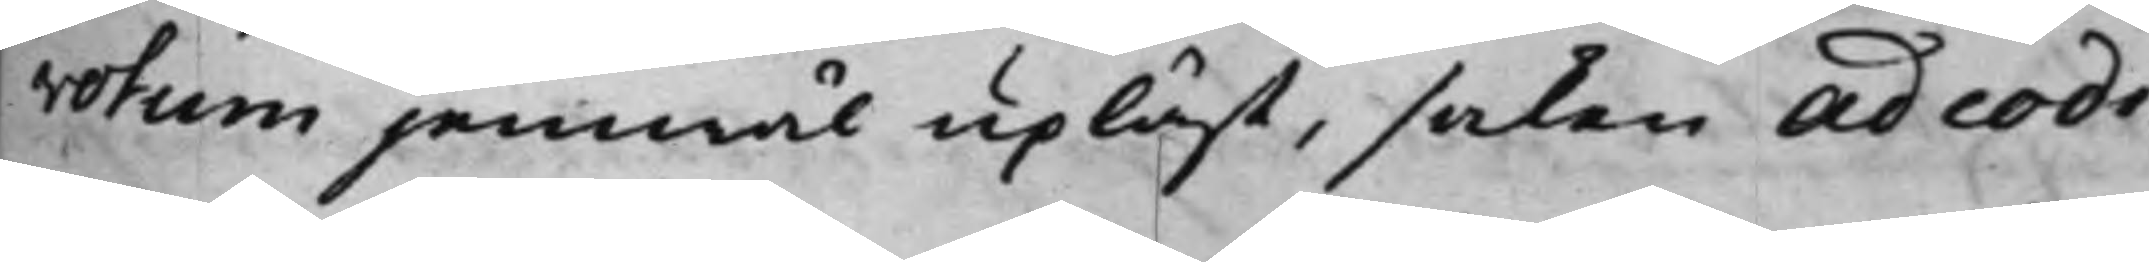votum jemwäl upläst, saken Ad codi¬
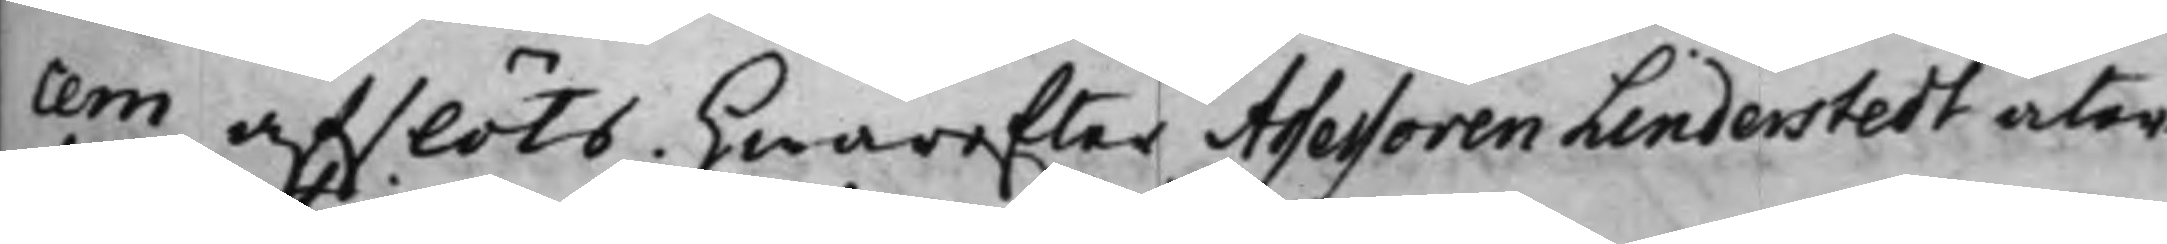cem afslöts. Hwarefter Assessoren Linderstedt åter¬
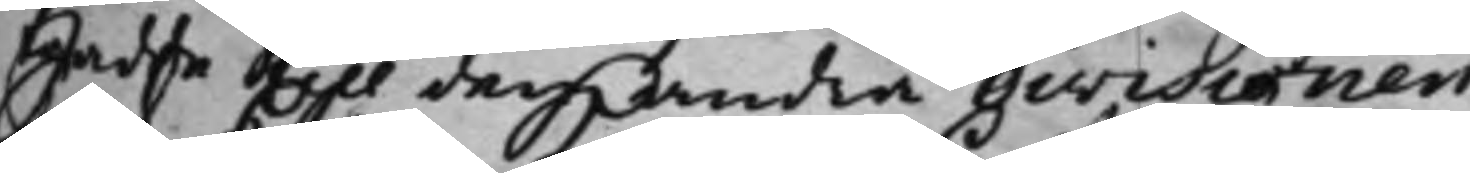trädde till den andra divisionen.
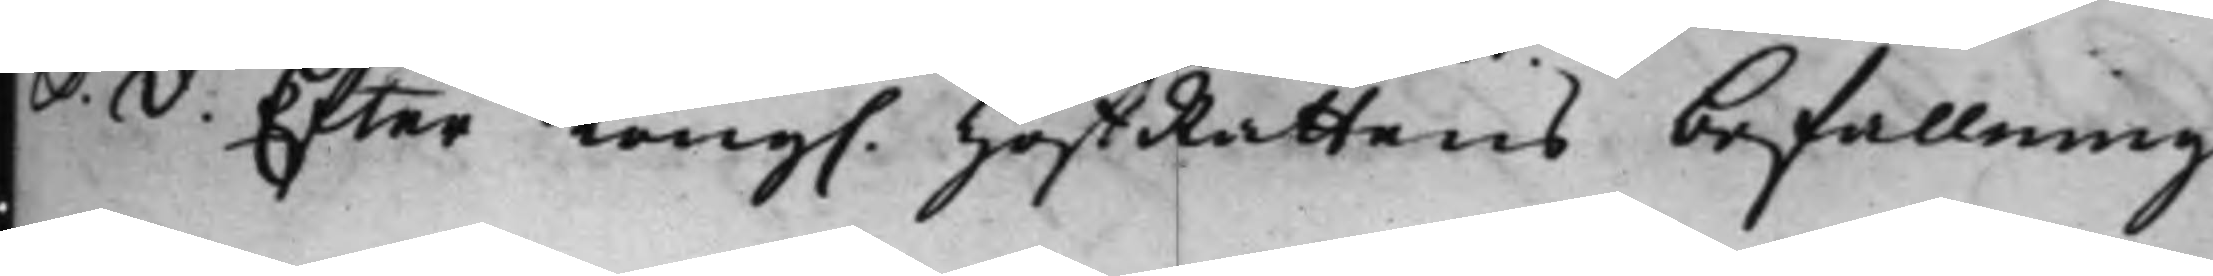S.d. Efter Kong. HoffRättens befallning
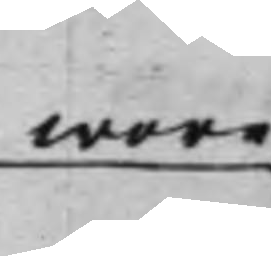wore
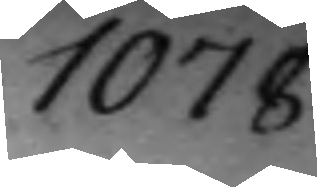1078.
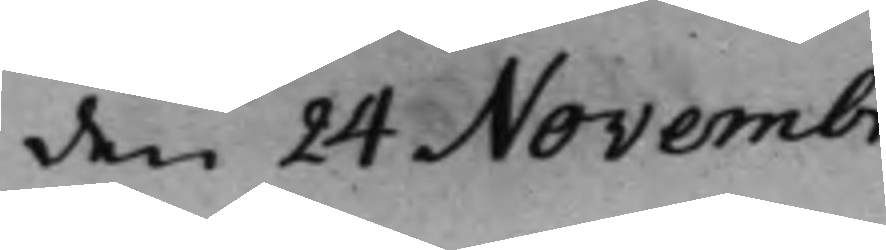den 24 Novembr
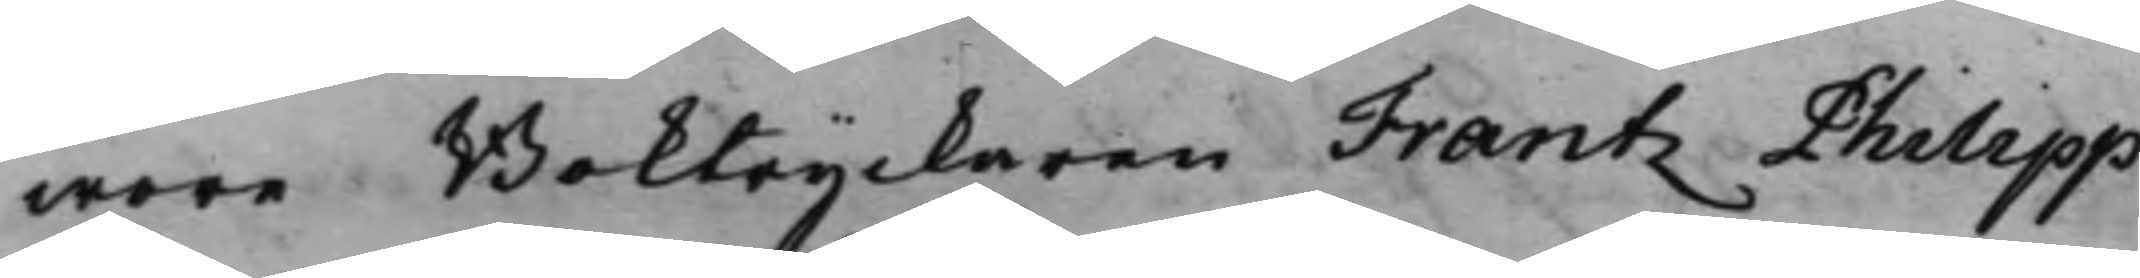wore Boktryckaren Frantz Philipp
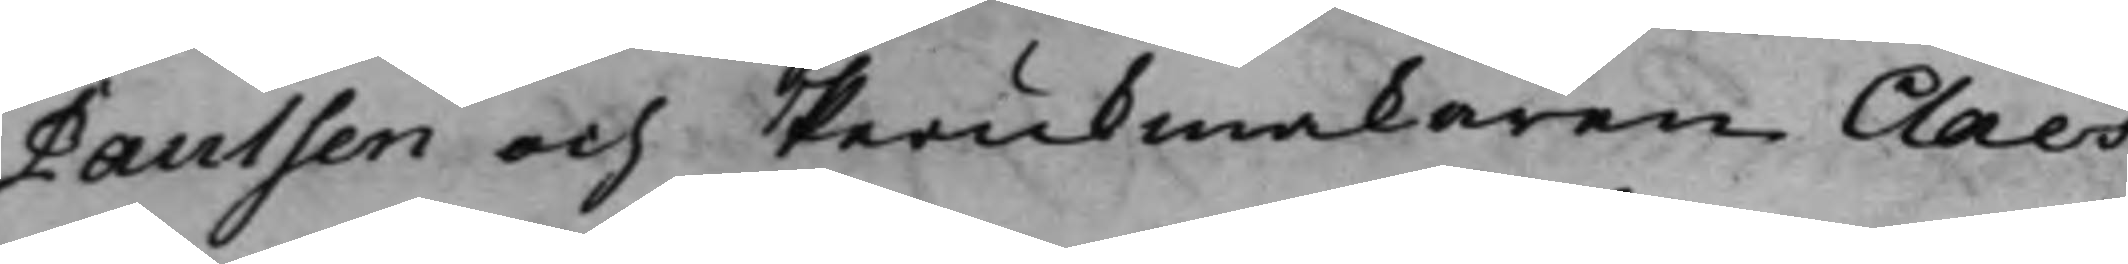Paulsen och Perukmakaren Claes
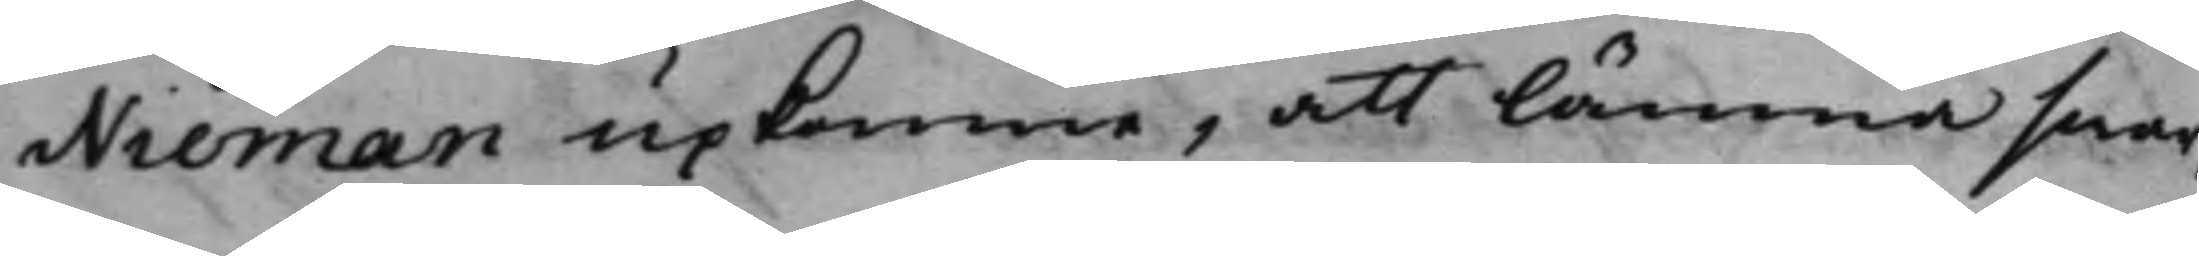Nieman upkomne, att lämna swar,
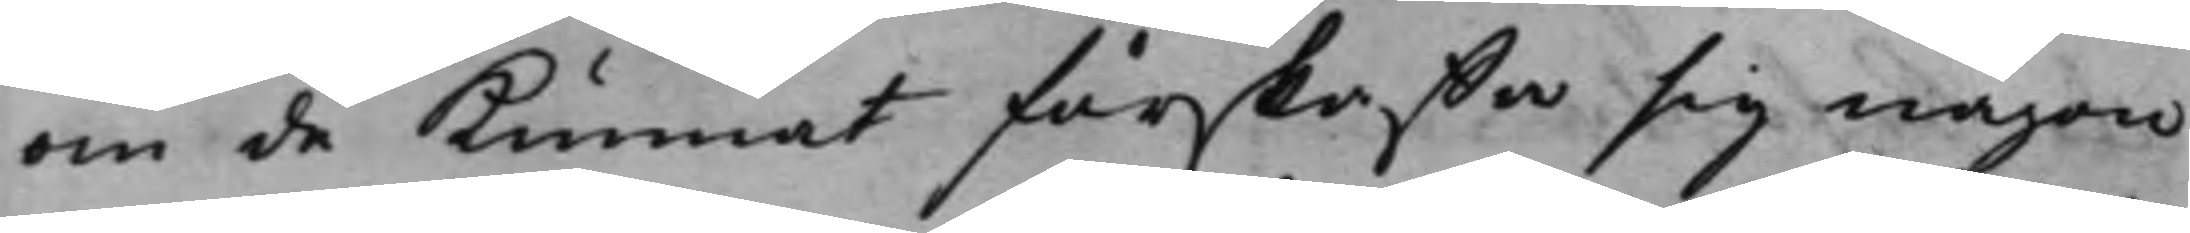om de kunnat förskaffa sig någon
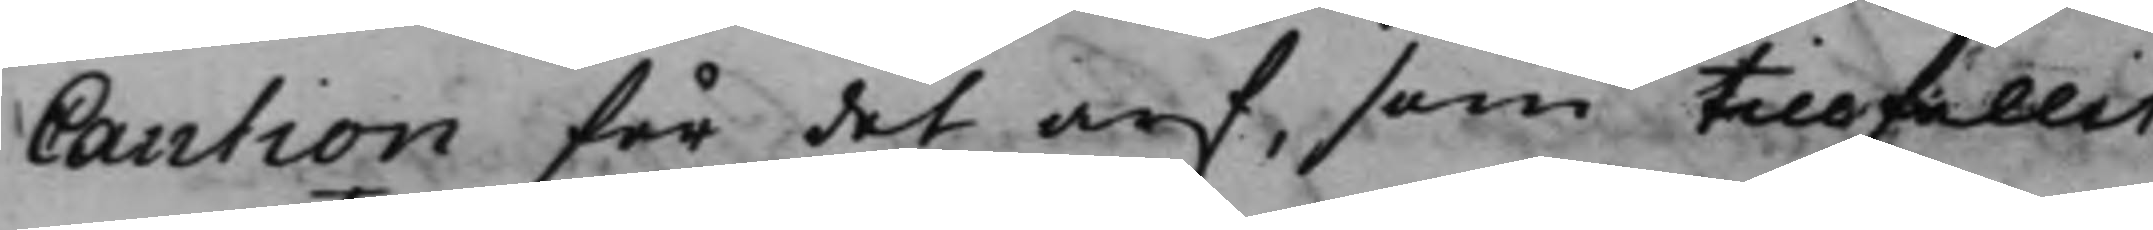Caution för det arf, som tillfallit
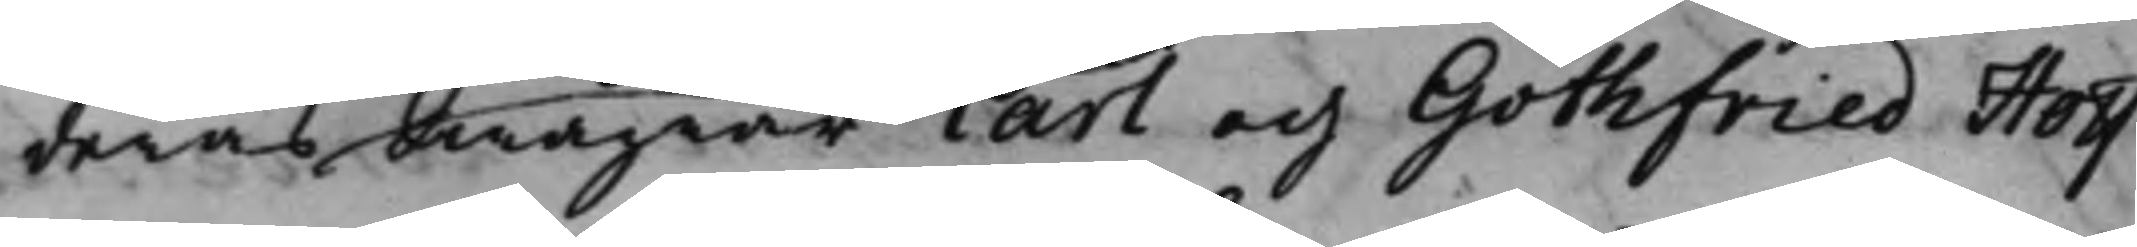deras Swågrar Carl och Gothfried Hoff¬
